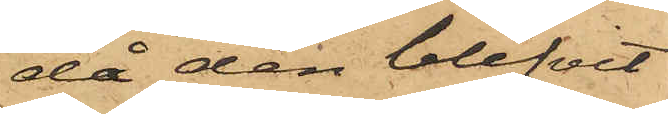då den blifvit
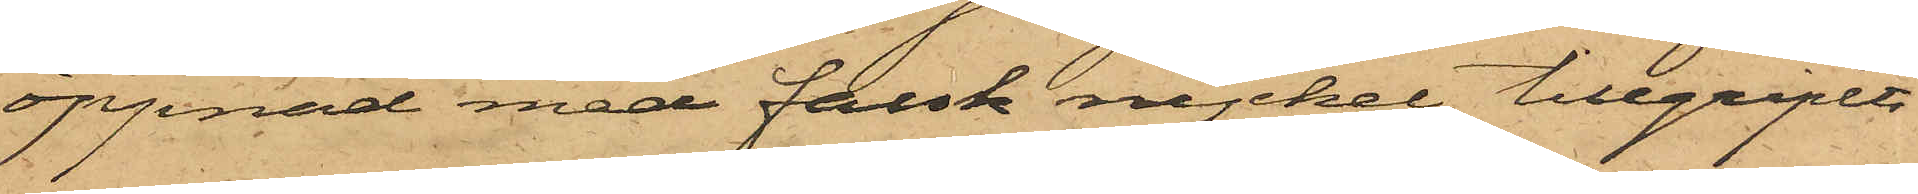öppnad med falsk nyckel, tillgripits
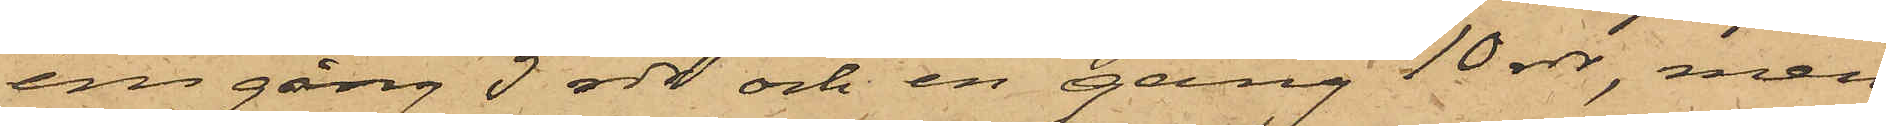en gång 5 rdr och en gång 10 rdr, men
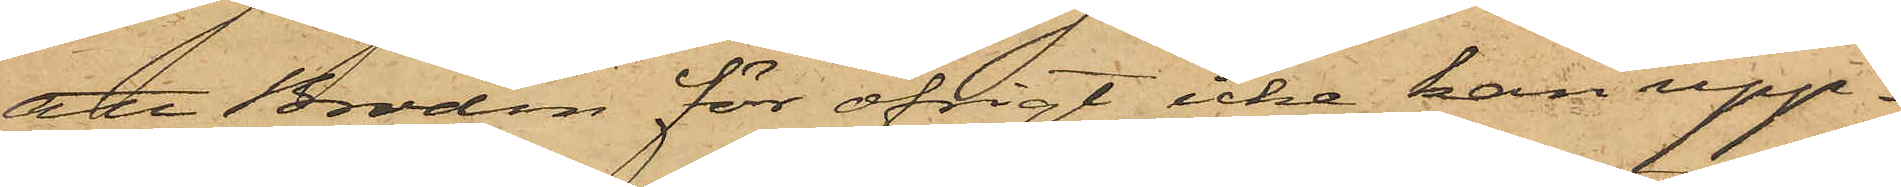att Brodin för öfrigt icke kan upp¬
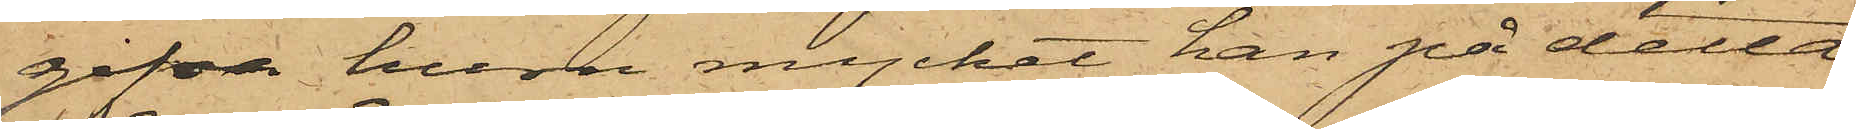gifva huru mycket han på detta
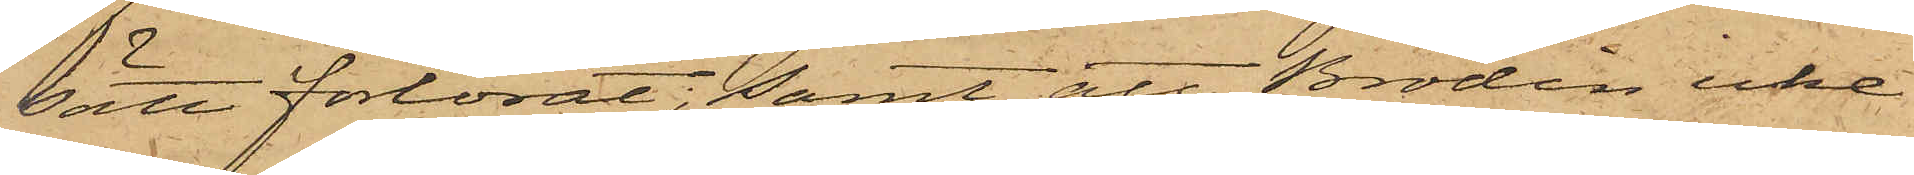sätt förlorat; samt att Brodin icke
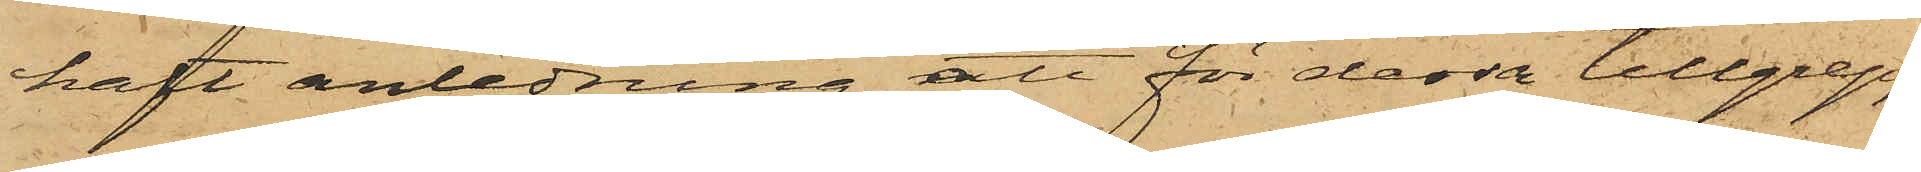haft anledning att för dessa tillgrepp
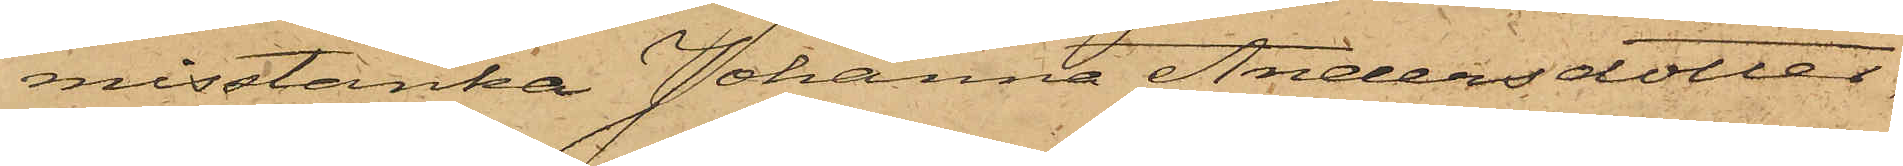misstänka Johanna Andersdotter,
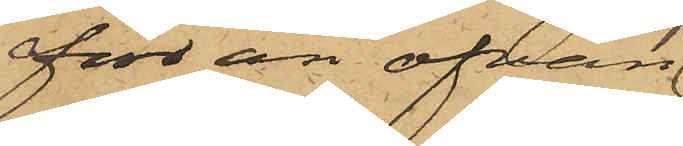förr än ofvan
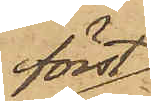först
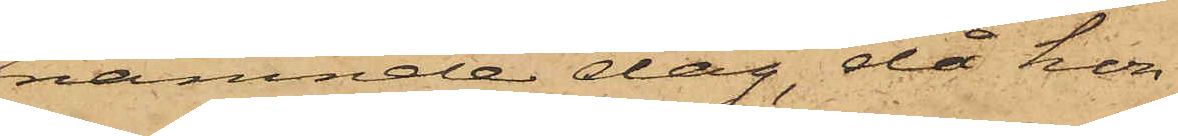nämnde dag, då hon
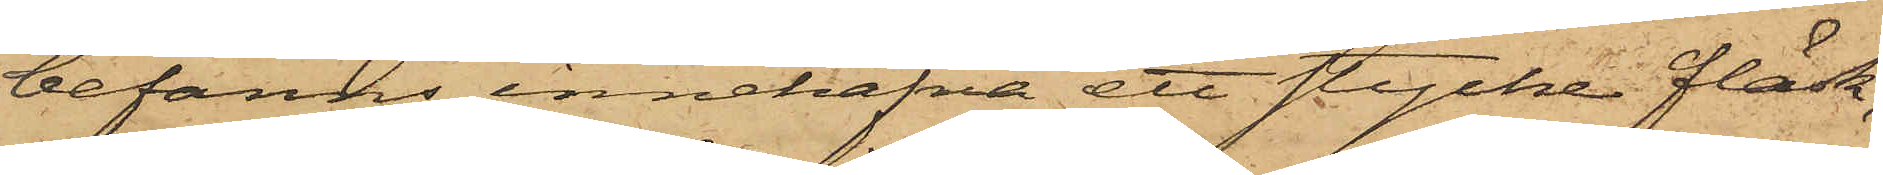befanns innehafva ett stycke fläsk,
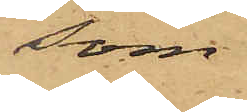som
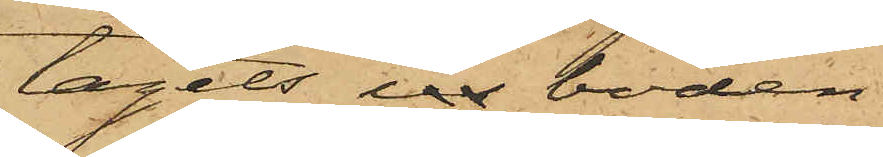tagits in boden.
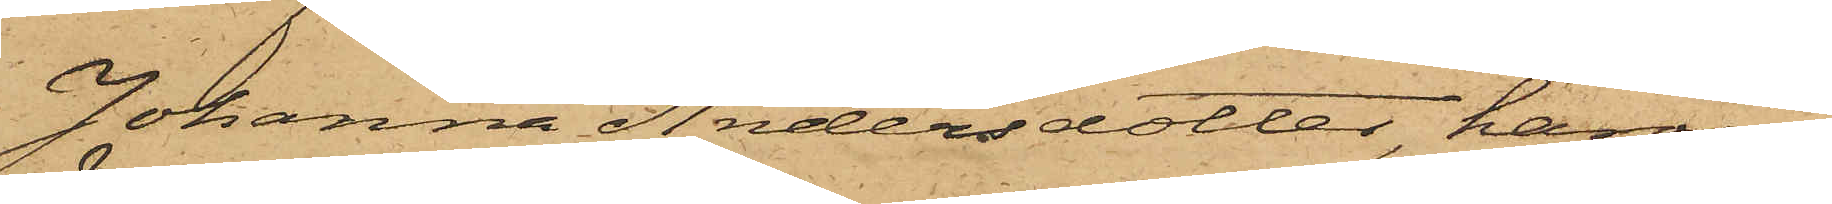Johanna Andersdotter, härom
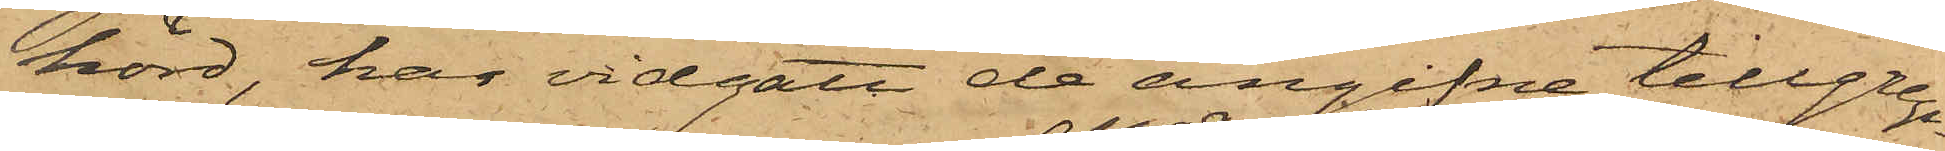hörd, har vidgått de angifne tillgrep¬
